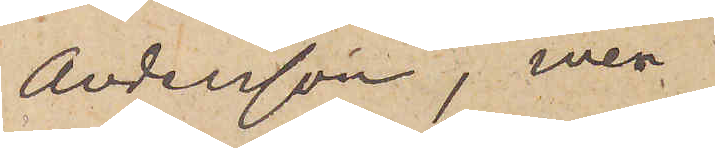Andersson, men
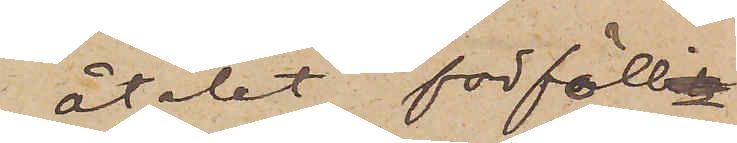åtalet förföll
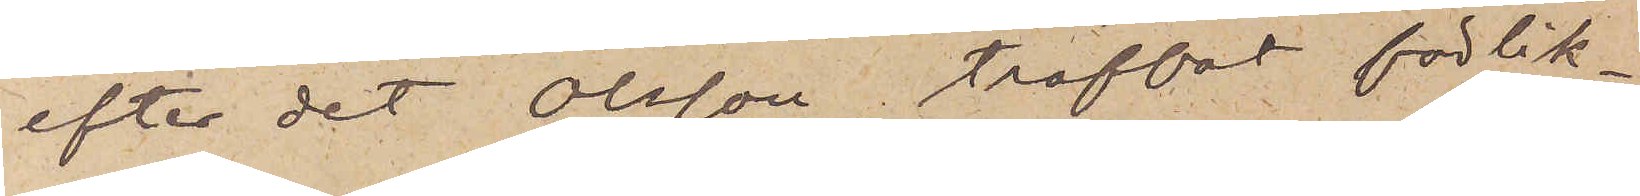efter det Olsson träffat förlik¬
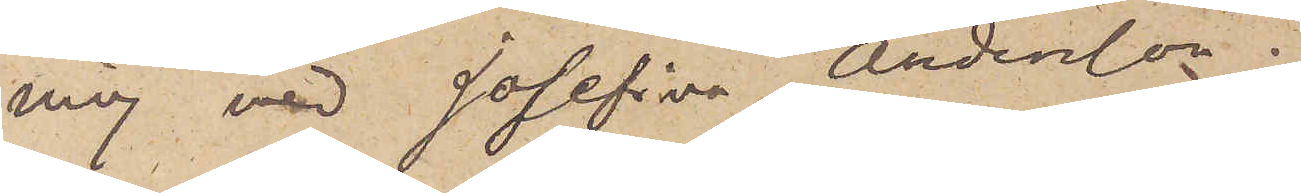ning med Josefina Andersson.
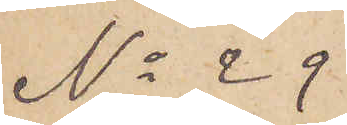No 29
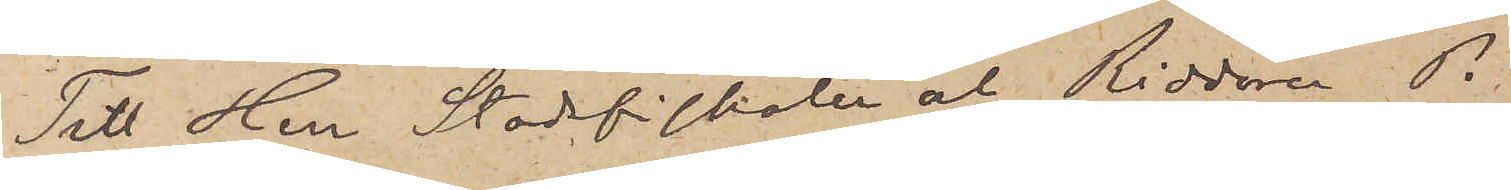Till Herr Stadsfiskalen och Riddaren P.
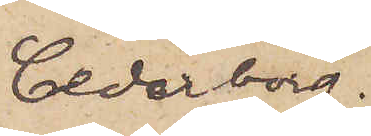Cederborg.
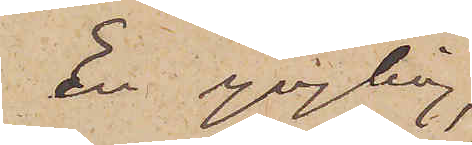En yngling,
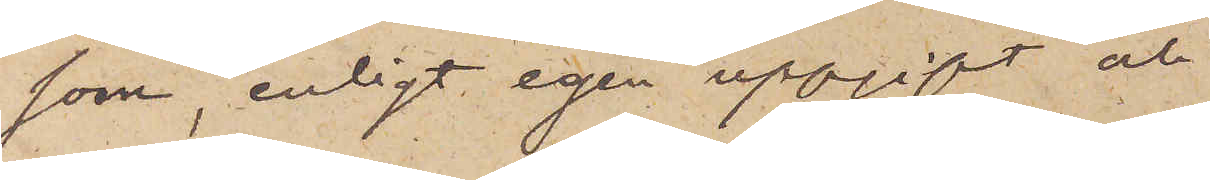som, enligt egen uppgift och
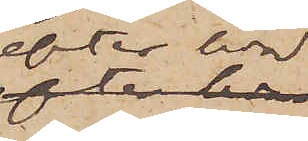efter som
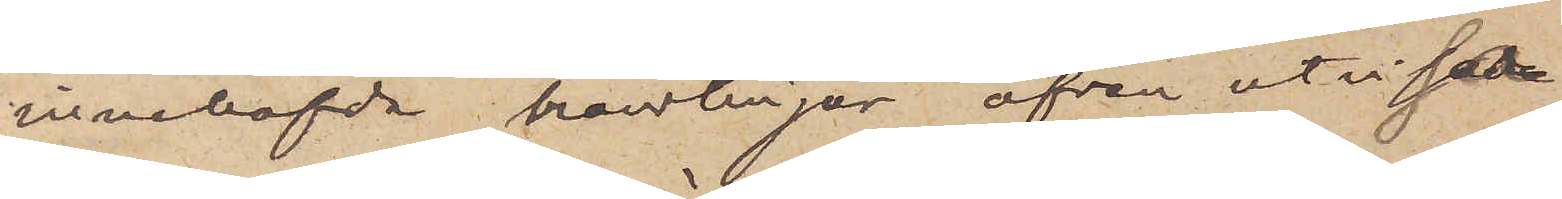innehafvda handlingar äfven utvisade,
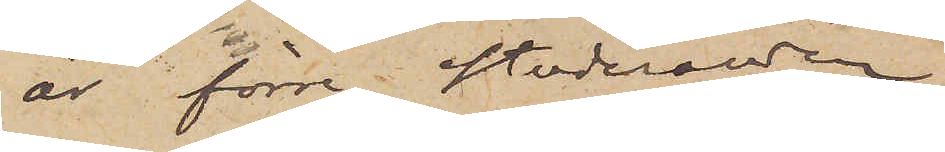är förre Studeranden
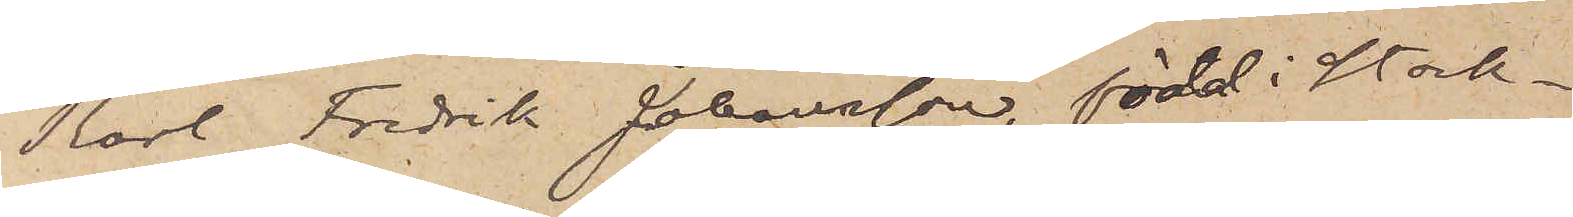Karl Fredrik Johansson, född i Stock¬
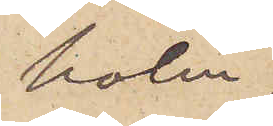holm
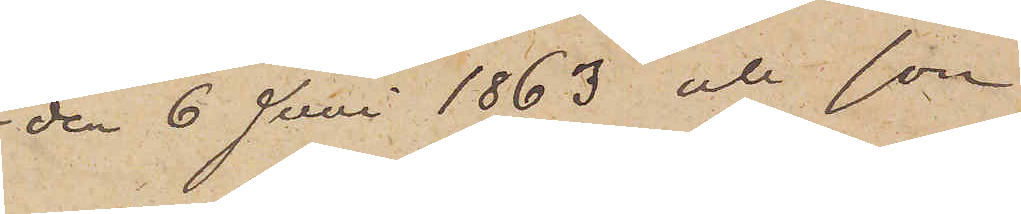den 6 Juni 1863 och son
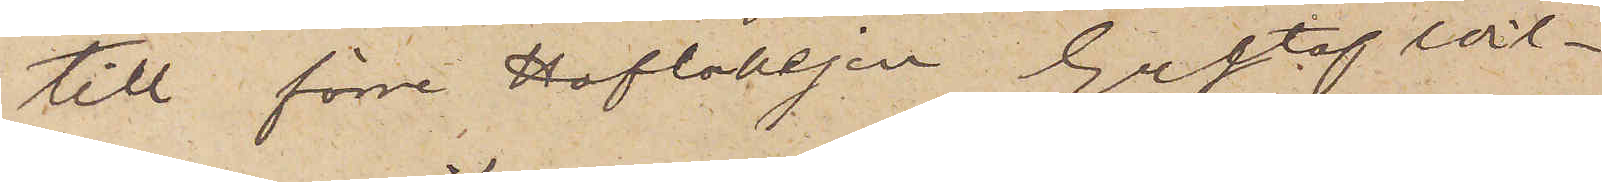till förre Hoflakejen Gustaf Wil¬
